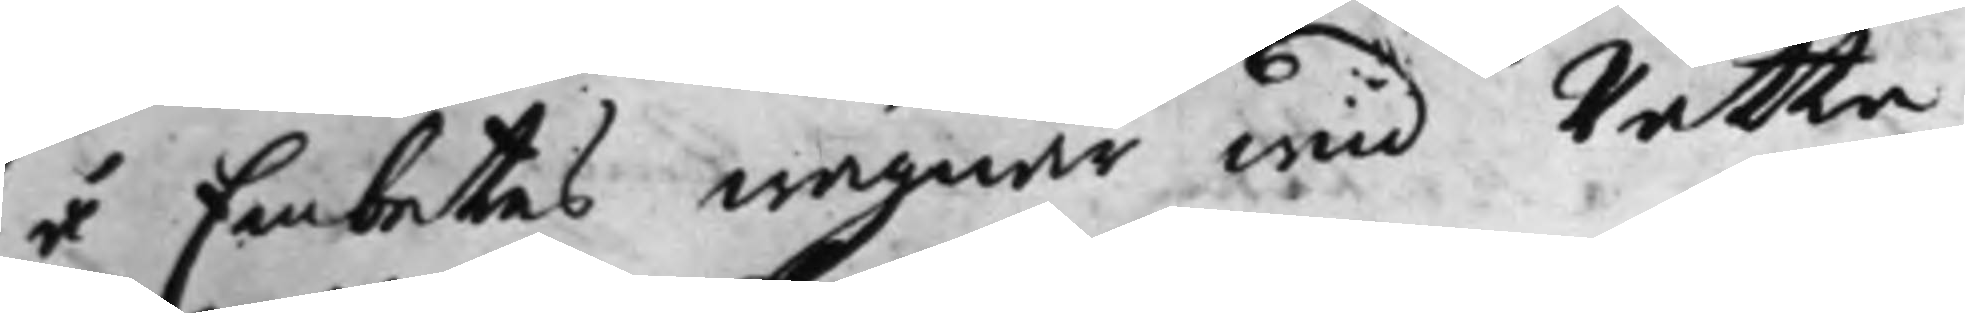å Embetes wägnar wid Rätta
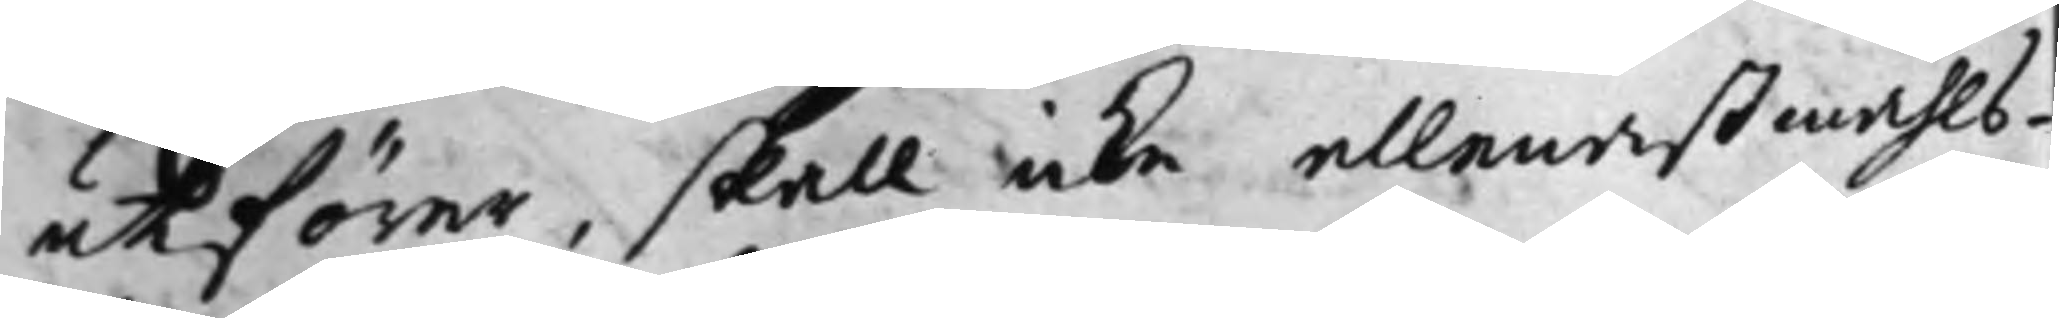uthförer, skall icke allenast måhls¬
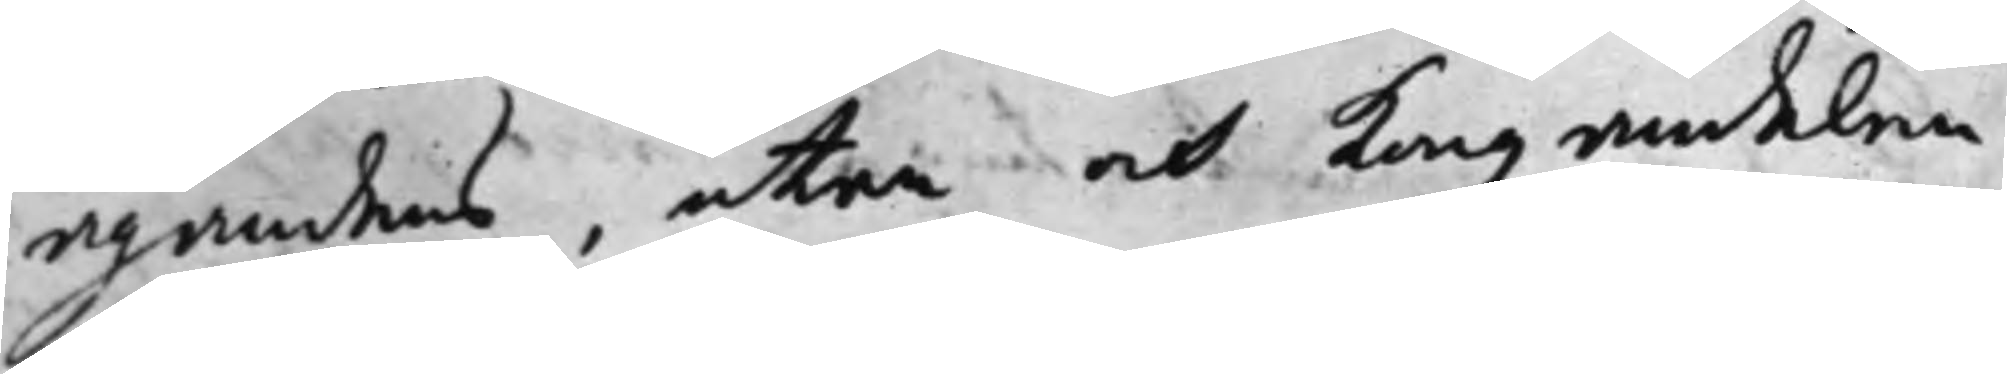ägandens, utan och Kongz andelen
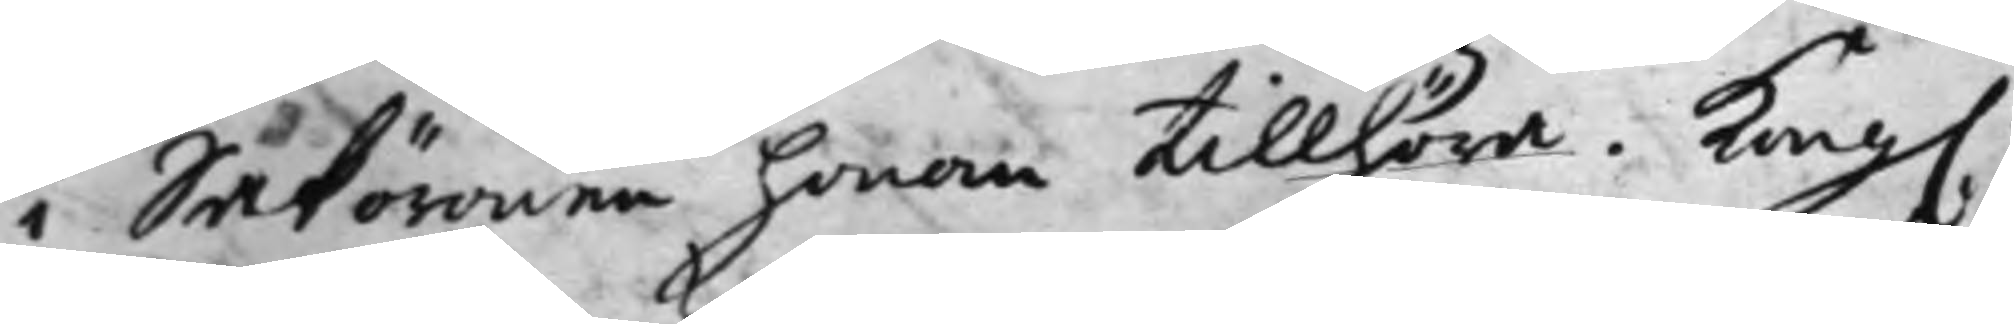i Saköronen honom tillhöra. Kong.
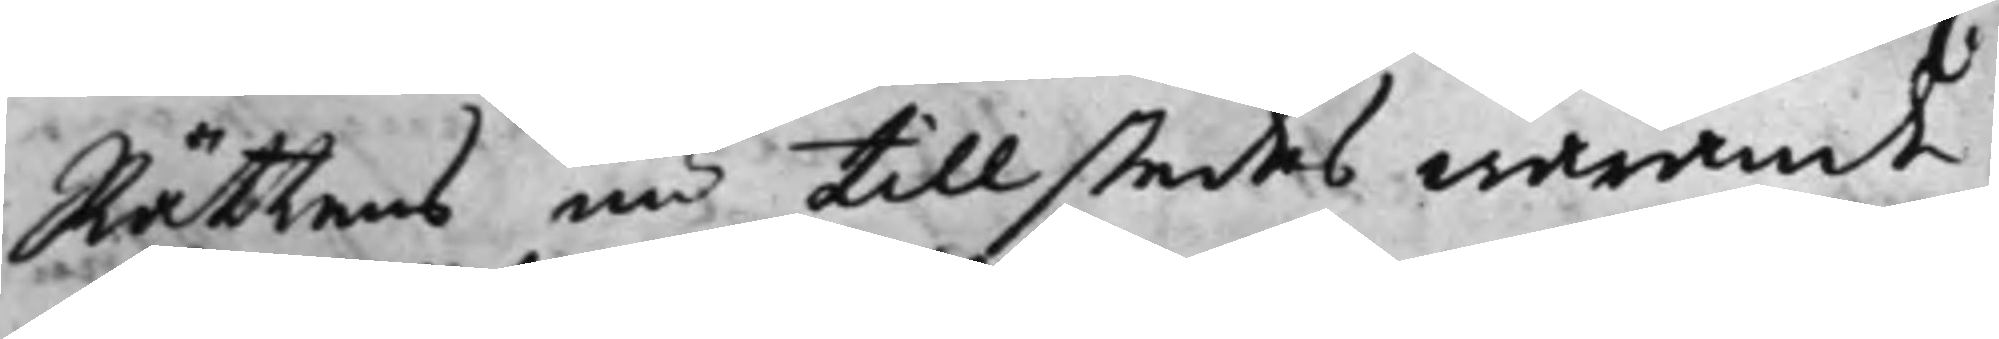Rättens nu tillstedes warande
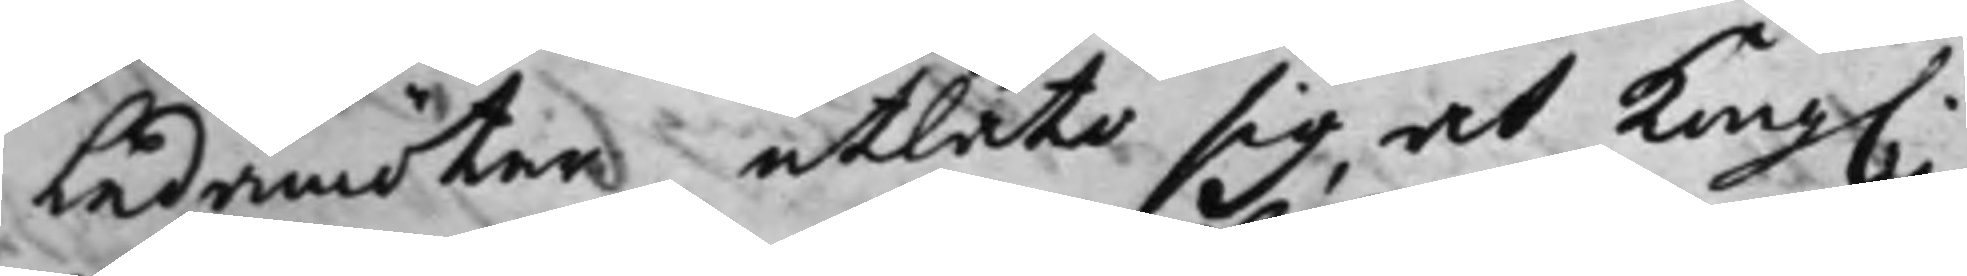Ledamöter utlåta sig at Kong.
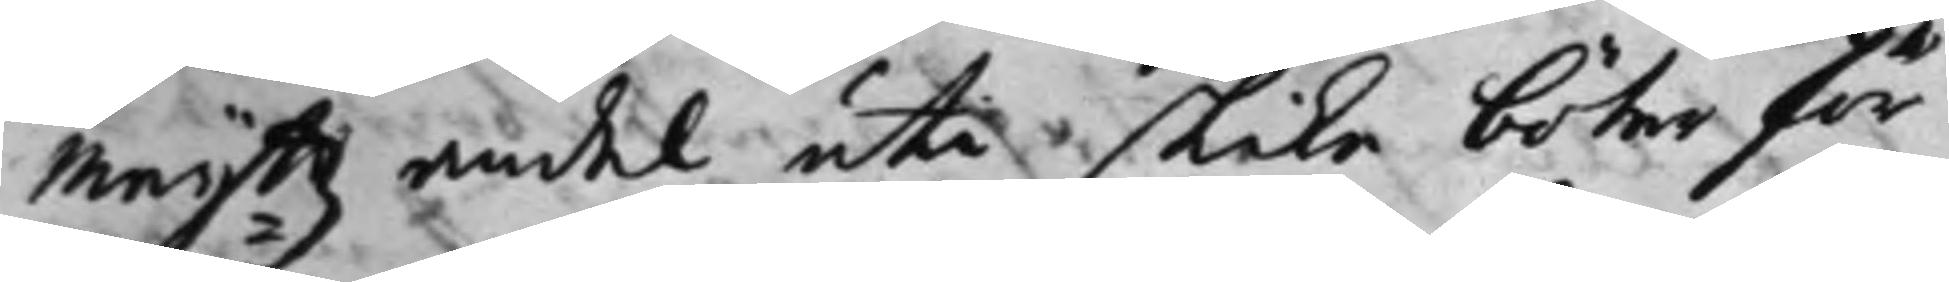Maij:ttz andel uti slika böter för
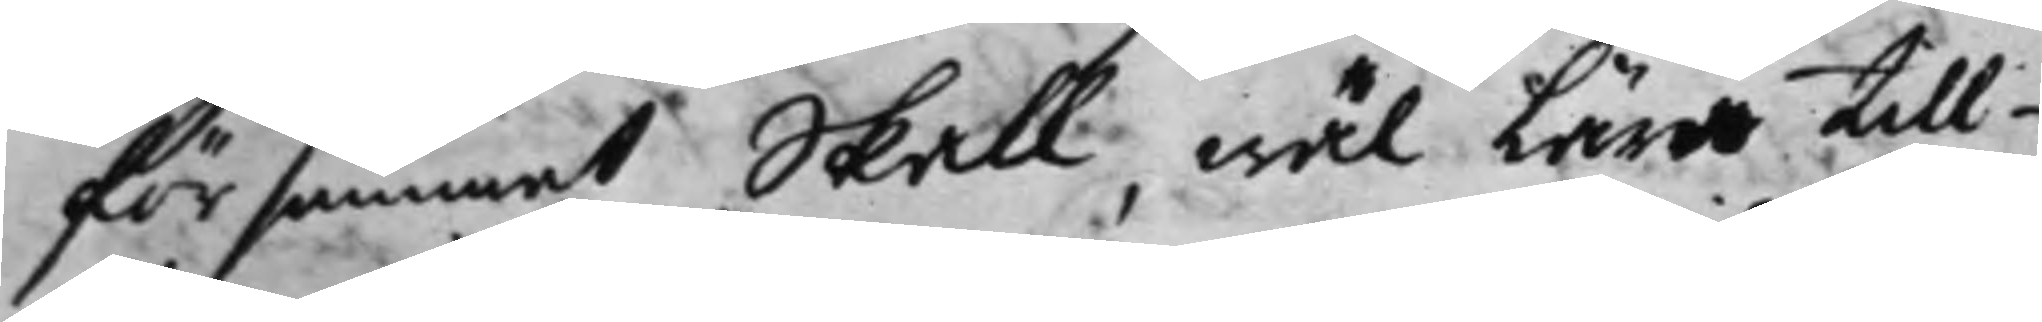försummat Skall, wäl Lära till¬
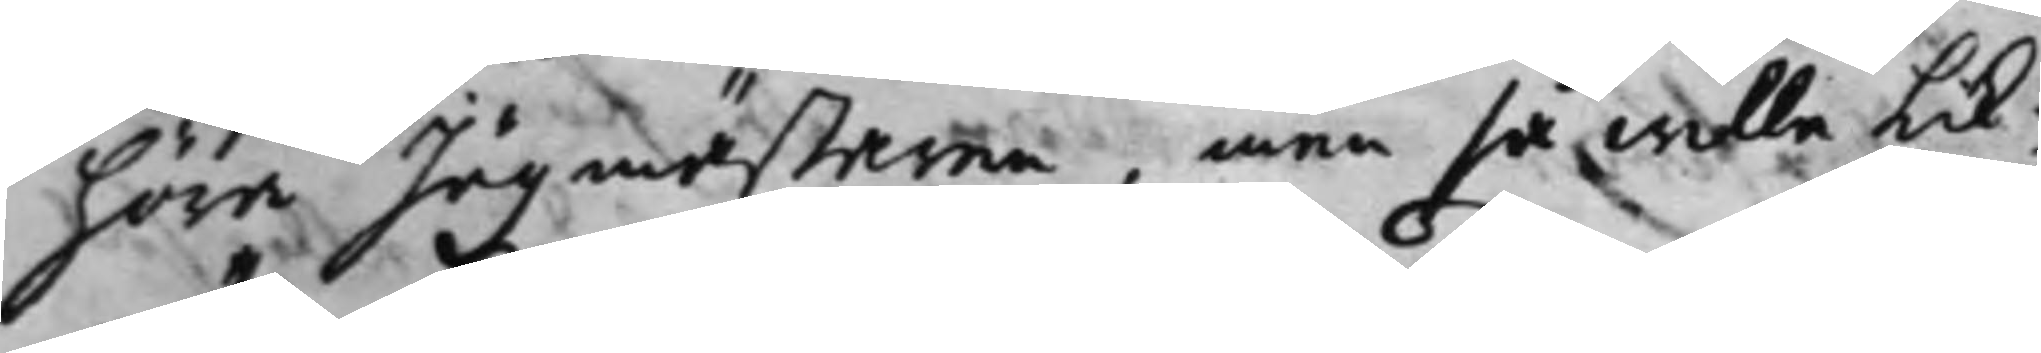höra Jägmästaren, men så wille Lik¬
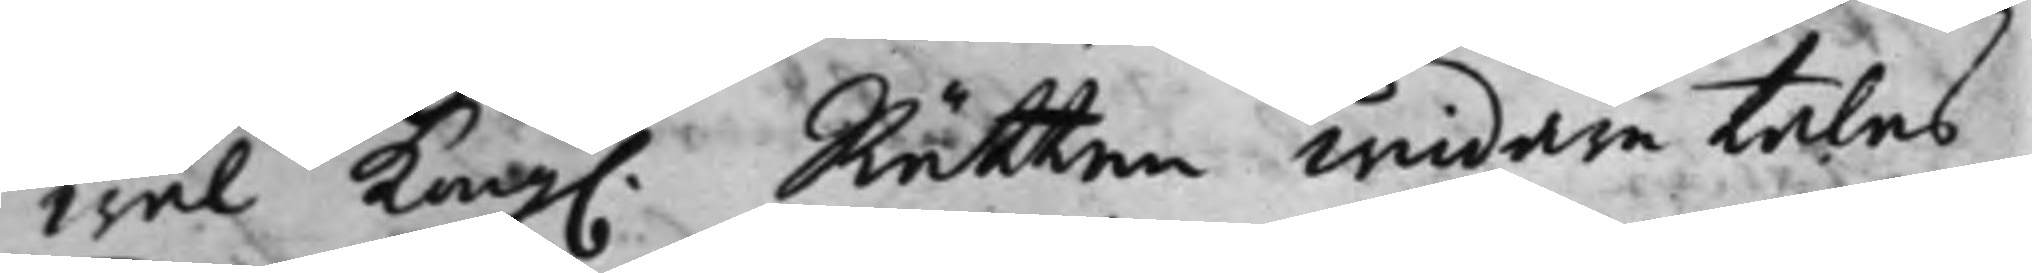wäl Kong. Rätten widare talas
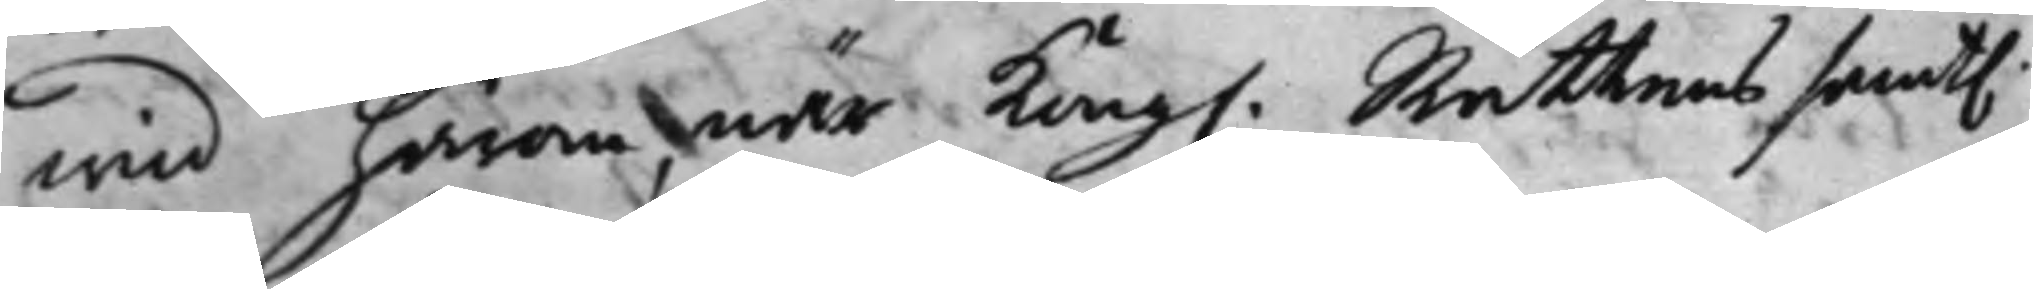wid härom, när Kong. Rättens samt.
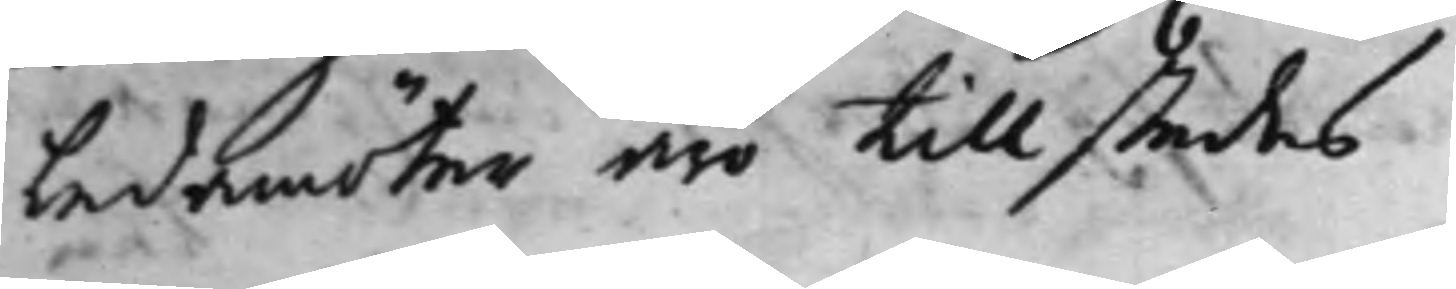Ledamöter äro tillstedes
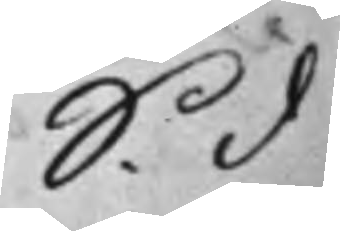S. d
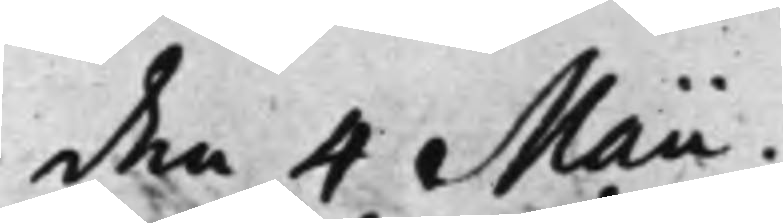den 4 Maii.
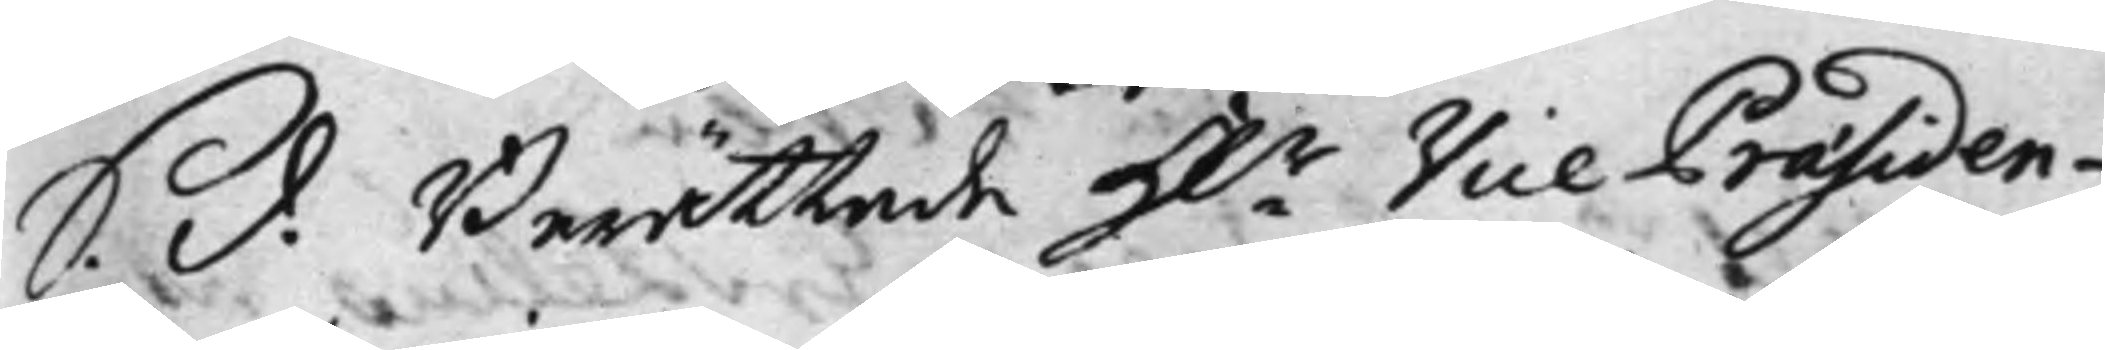S. d. Berättade H.r Vice Praesiden¬
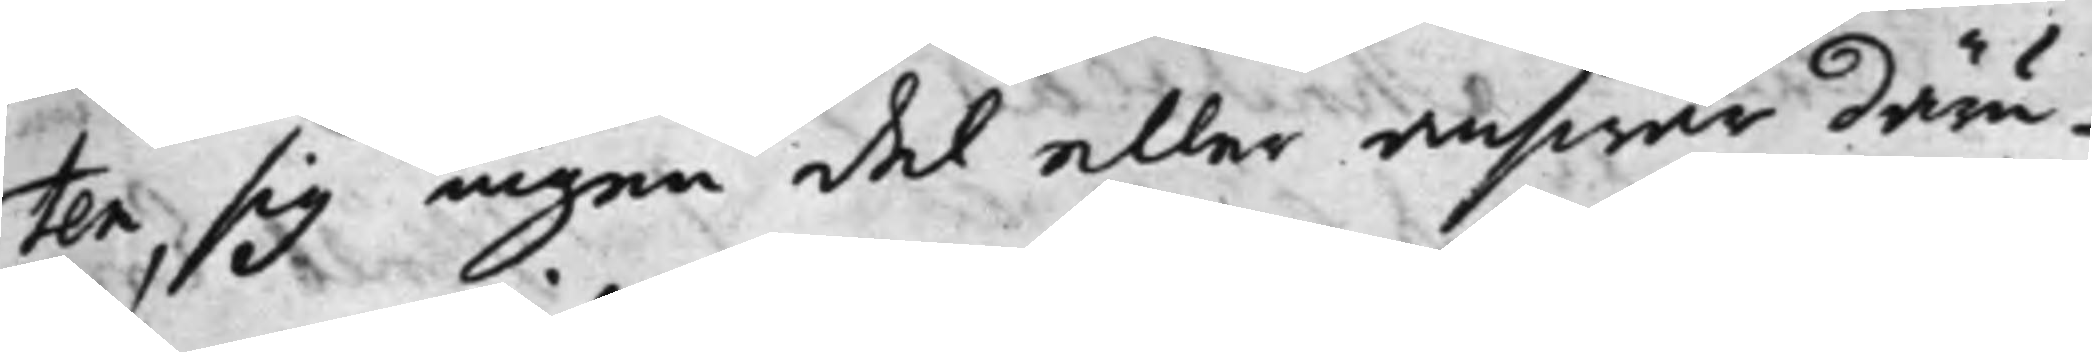ten, sig ingen del eller answar däru¬
